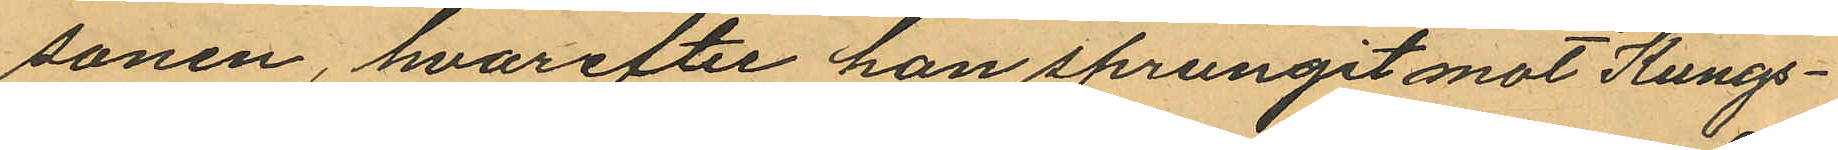sonen, hvarefter han sprungit mot Kungs¬
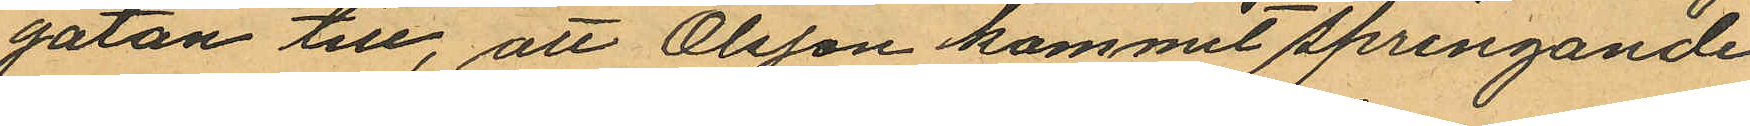gatan till, att Olsson kommit springande
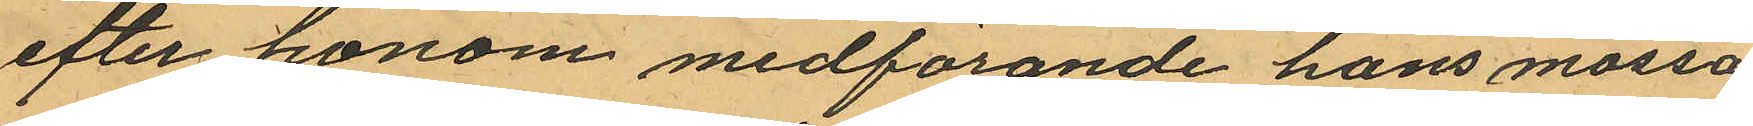efter honom medförande hans mössa
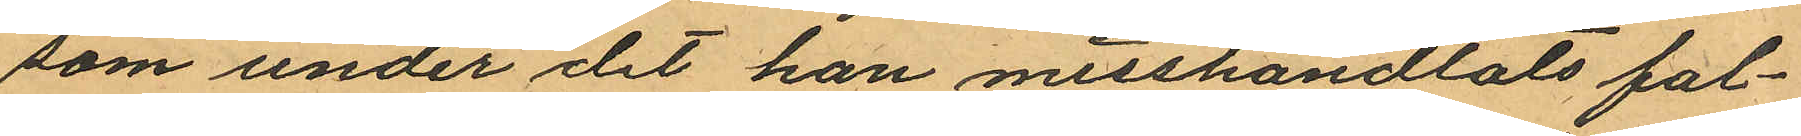som under det han misshandlats fal¬
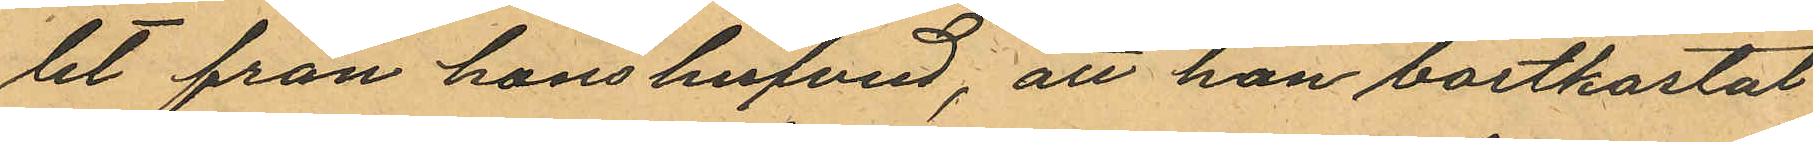lit från hans hufvud; att han bortkastat
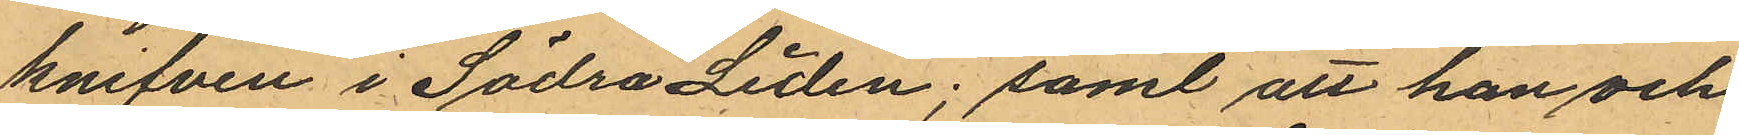knifven i Södra Liden; samt att han och
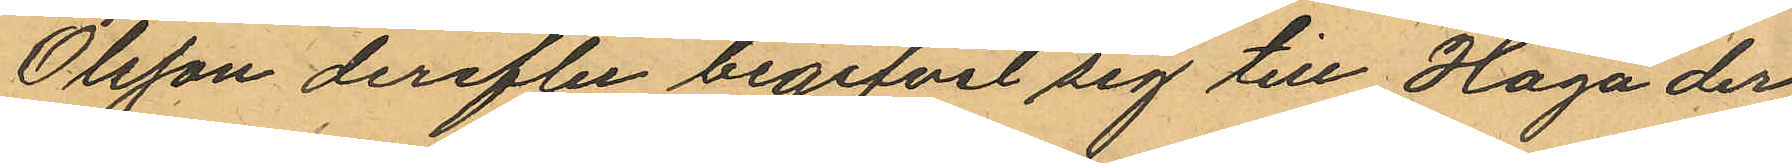Olsson derefter begifvit sig till Haga der
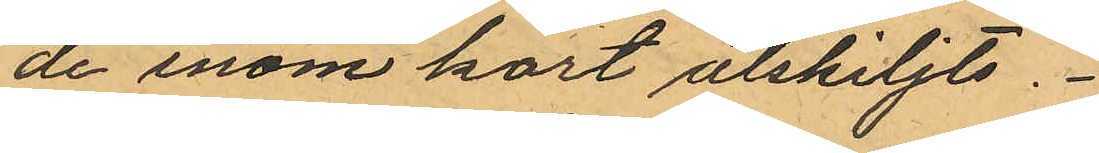de inom kort åtskiljts.
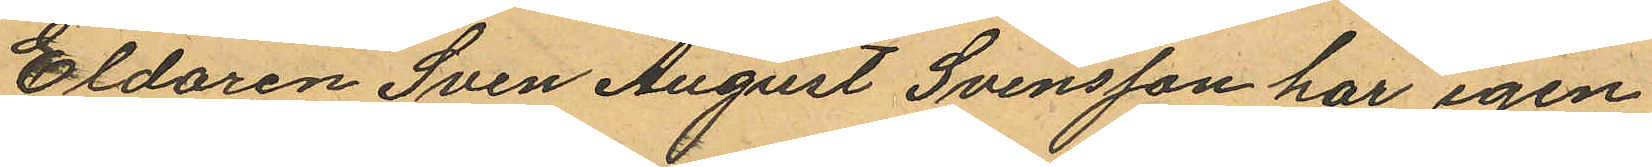Eldaren Sven August Svensson har igen
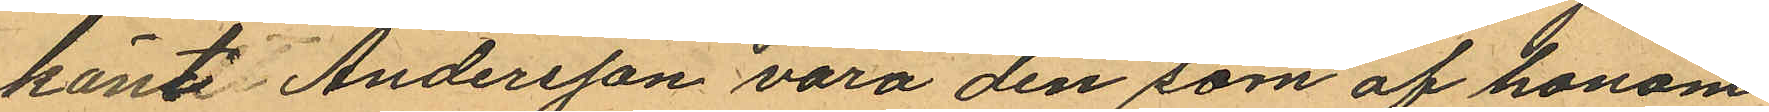känt Andersson vara den som af honom
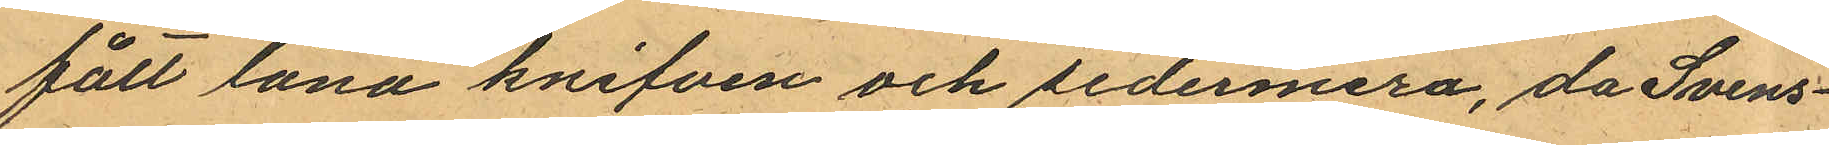fäll låna knifven och sedermera, då Svens¬
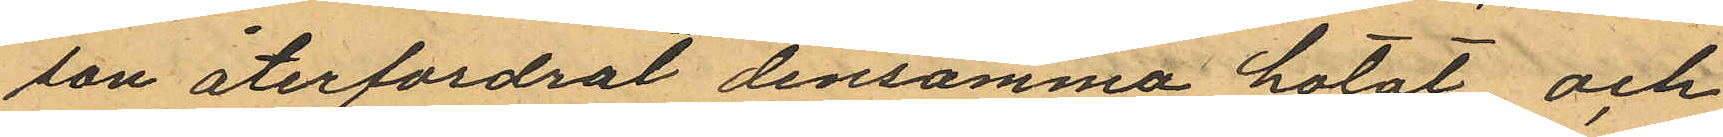son återfordrat densamma hotat och
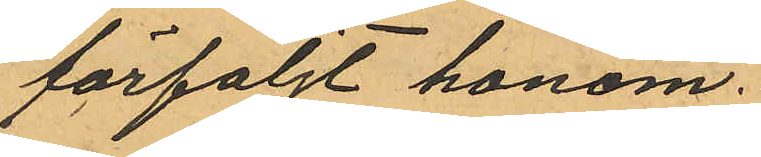förföljt honom.
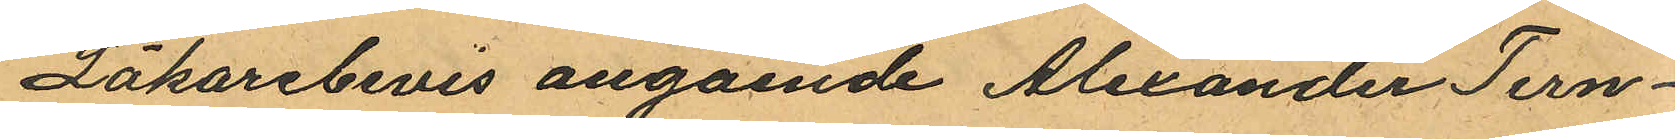Läkarebevis angående Alexander Tern¬
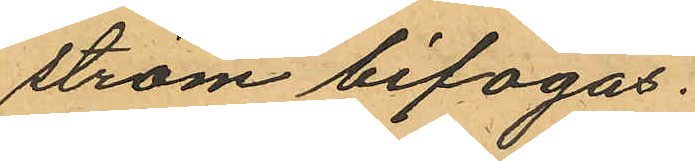ström bifogas.
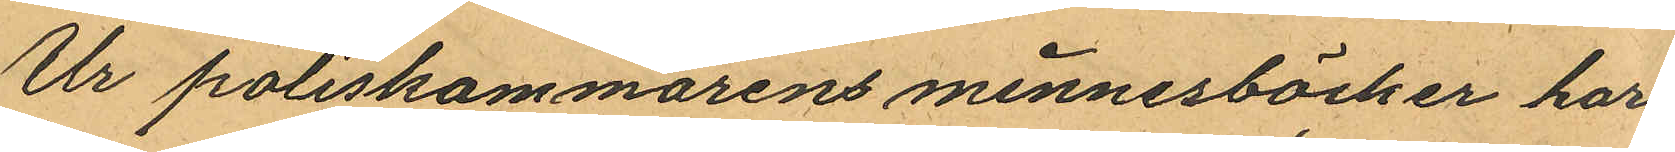Ur poliskammarens minnesböcker har
